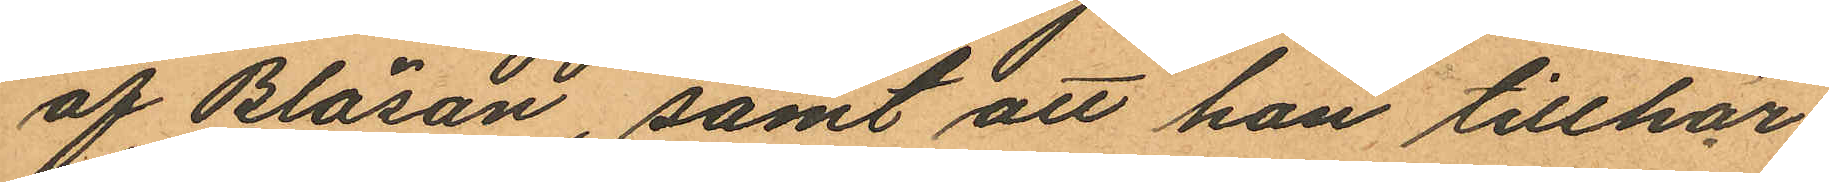af Bläsan, samt att han tillhör
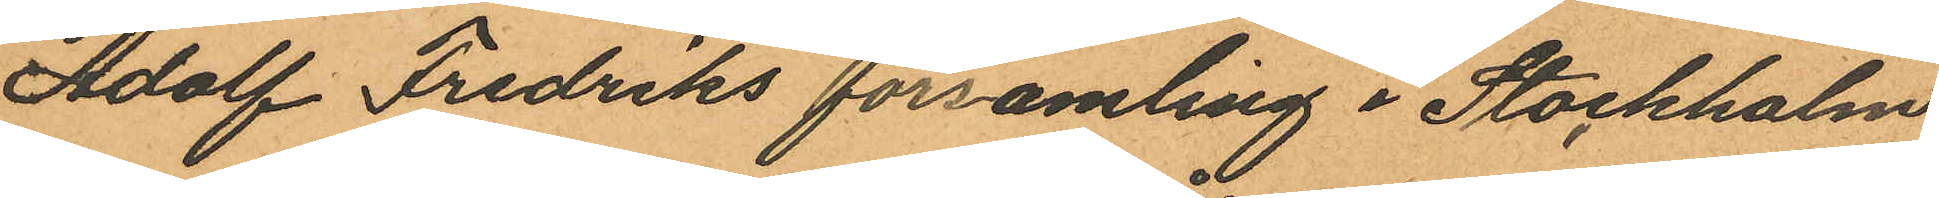Adolf Fredriks församling i Stockholm
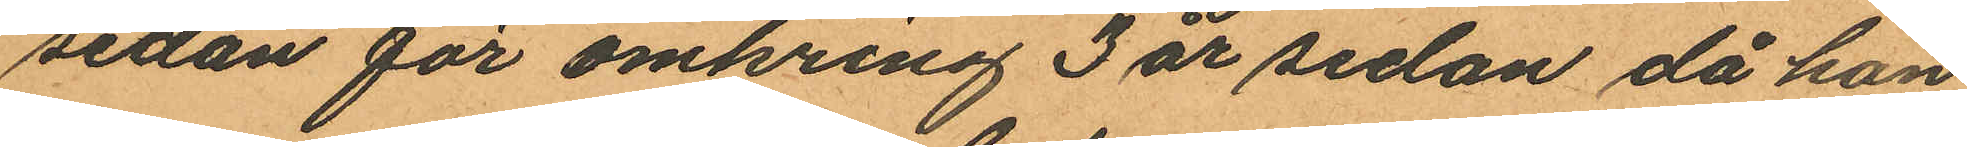sedan för omkring 3 år sedan då han
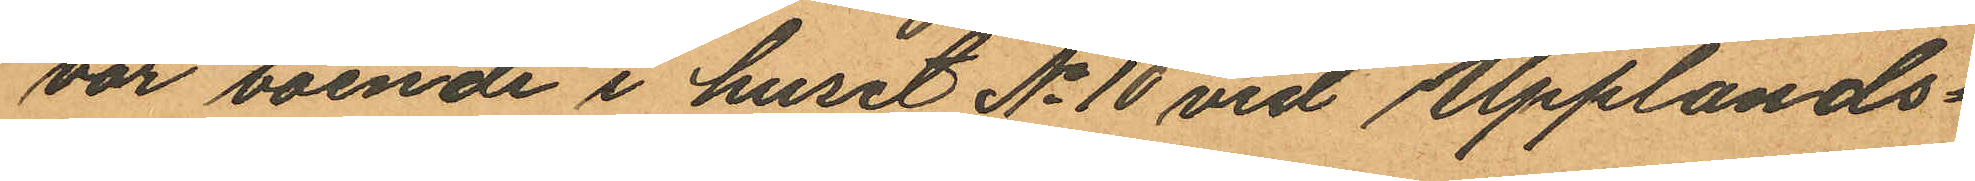var boende i huset No 10 vid Upplands¬
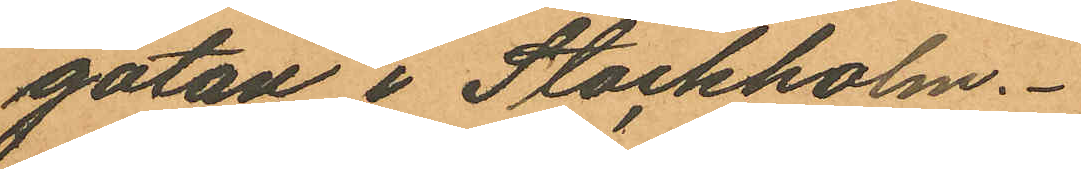gatan i Stockholm.
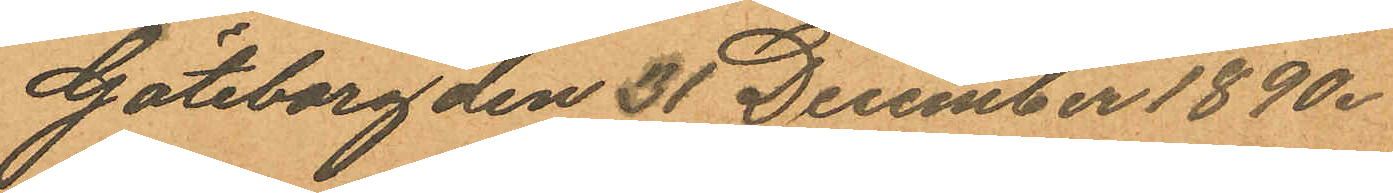Göteborg den 31 December 1890.
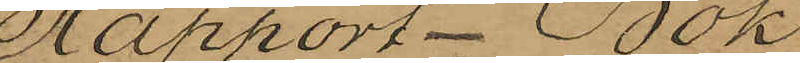Rapport-Bok
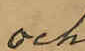och
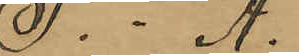F. - Ä.
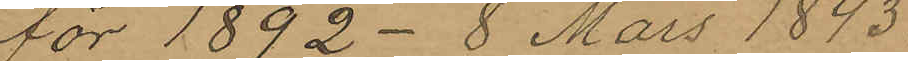för 1892 - 8 Mars 1893.
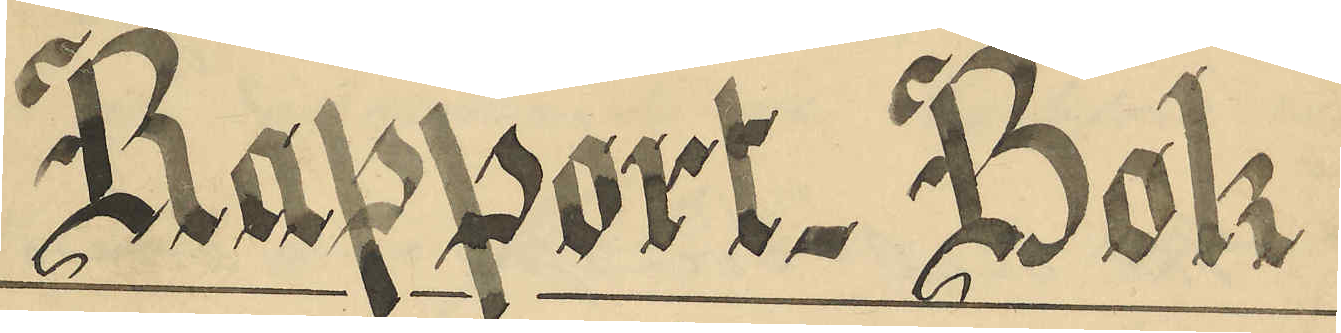Rapport-Bok
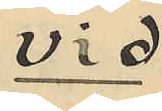vid
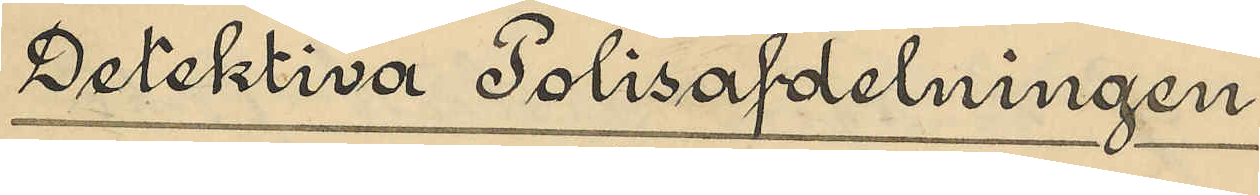Detektiva Polisafdelningen
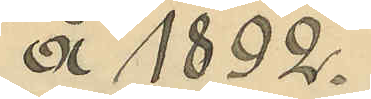å 1892.
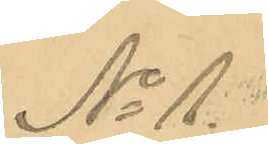No 1.
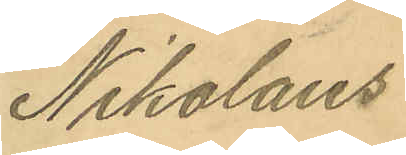Nikolaus
